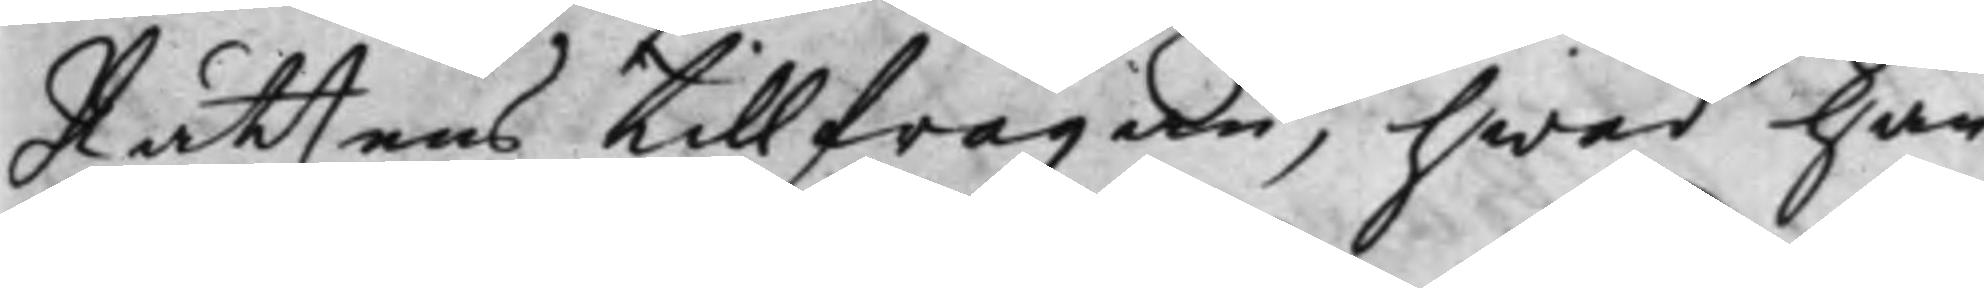Rättens tillfrågan, hwad han
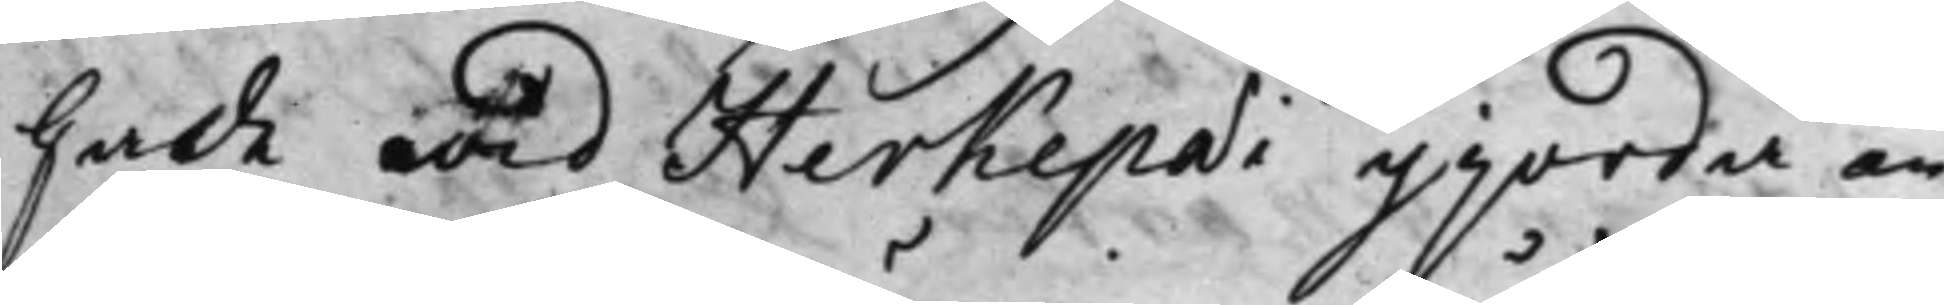hade wid Herkepaei gjorda an¬
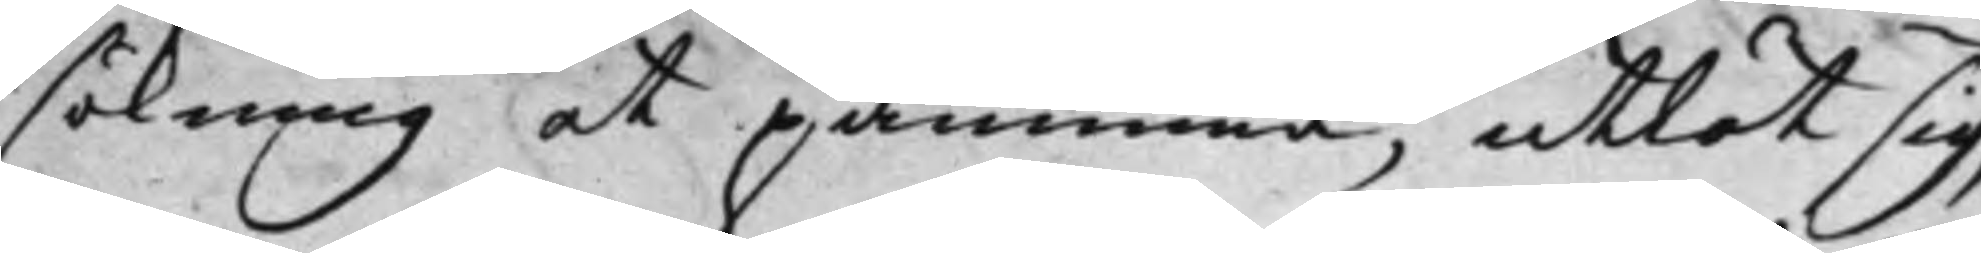sökning at påminna, utlät sig,
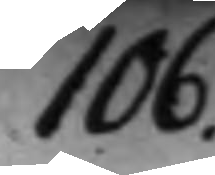106.
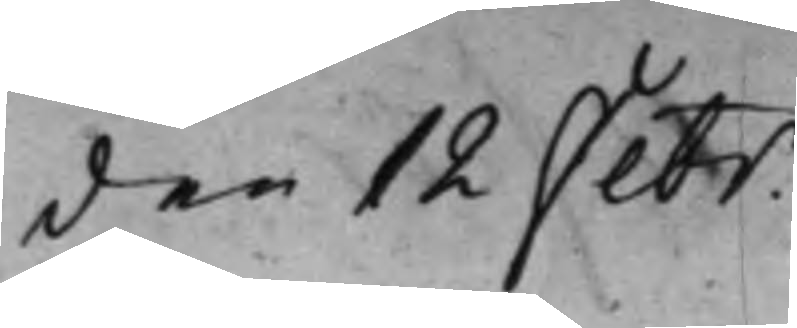den 12 Febr.
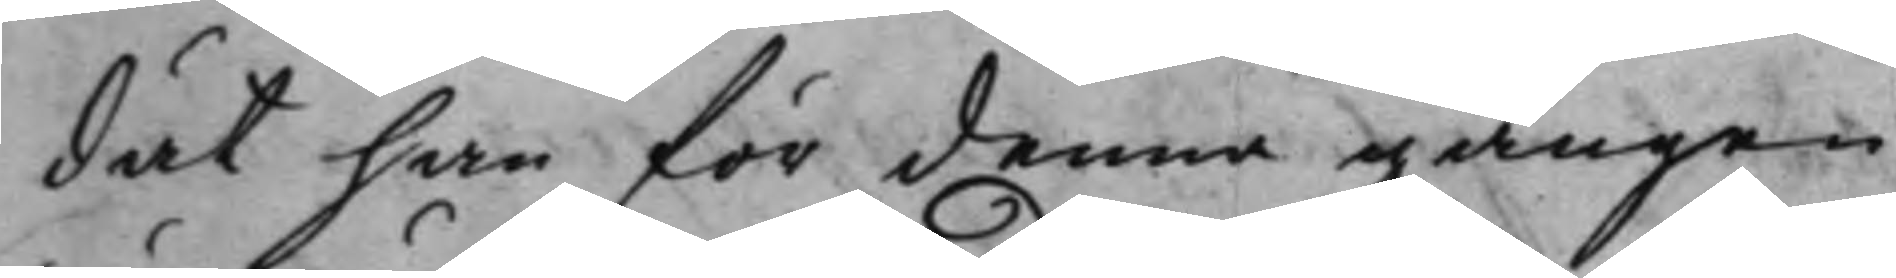dät han för denna gången
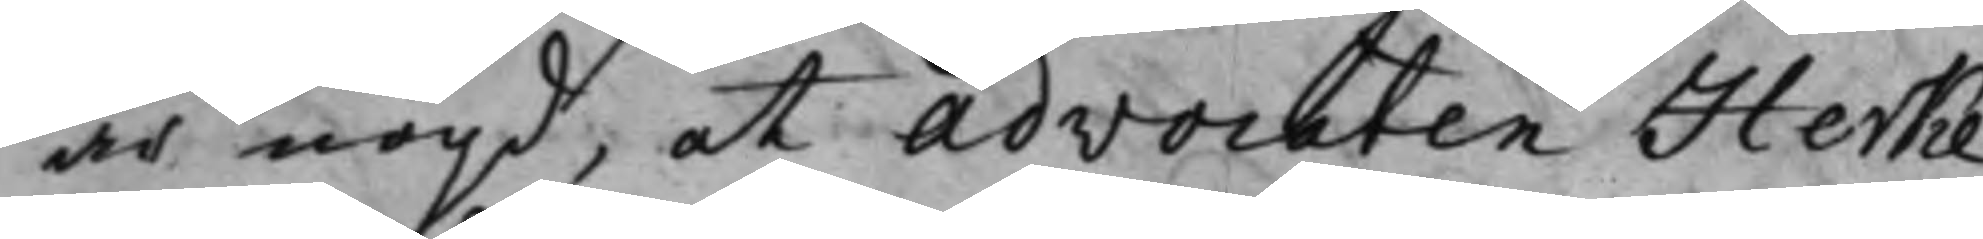är nögd, at Advocaten Herke¬
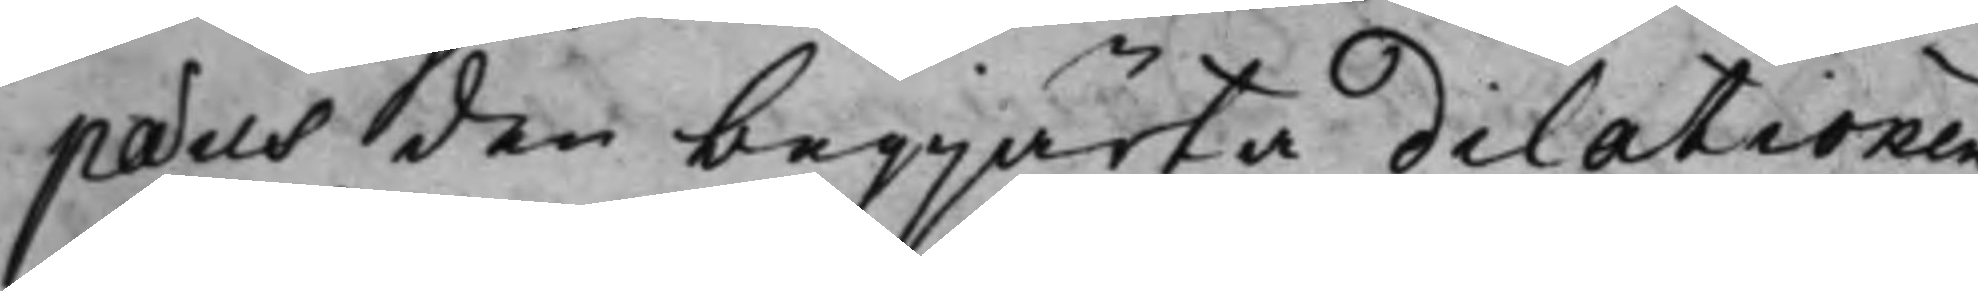paeus den begjärta dilatonen
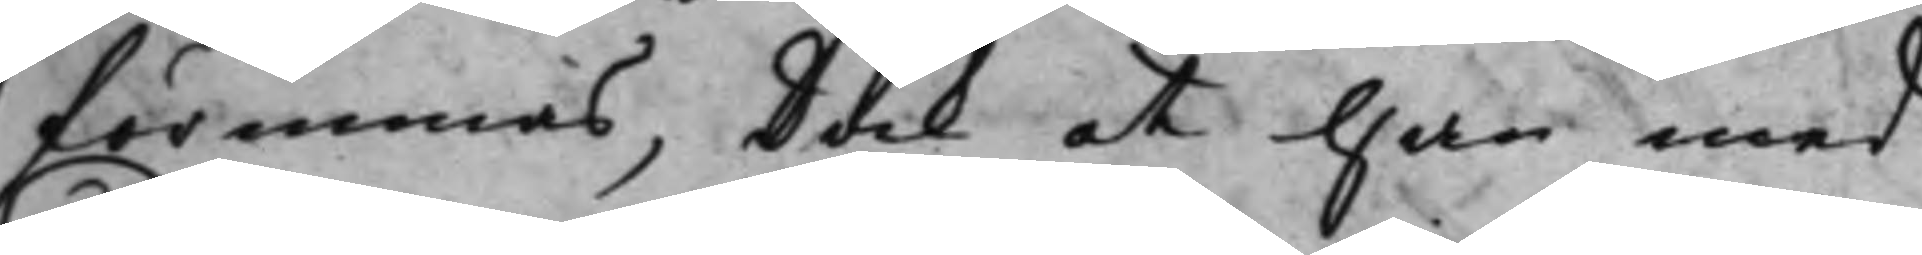förunnas, Dock at han med
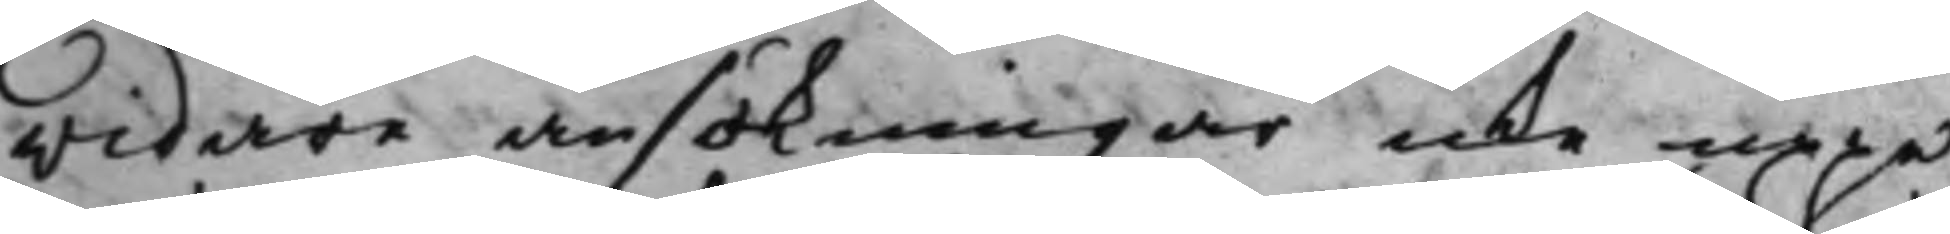widare ansökningar icke uppe¬
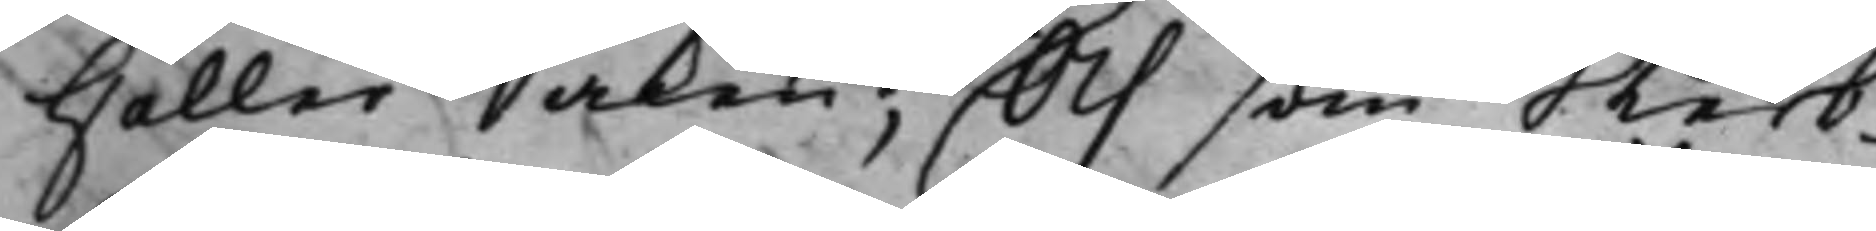Håller Saken; Och som Sterb¬
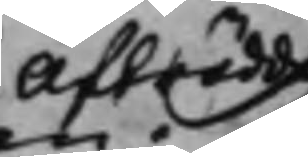Afträdde
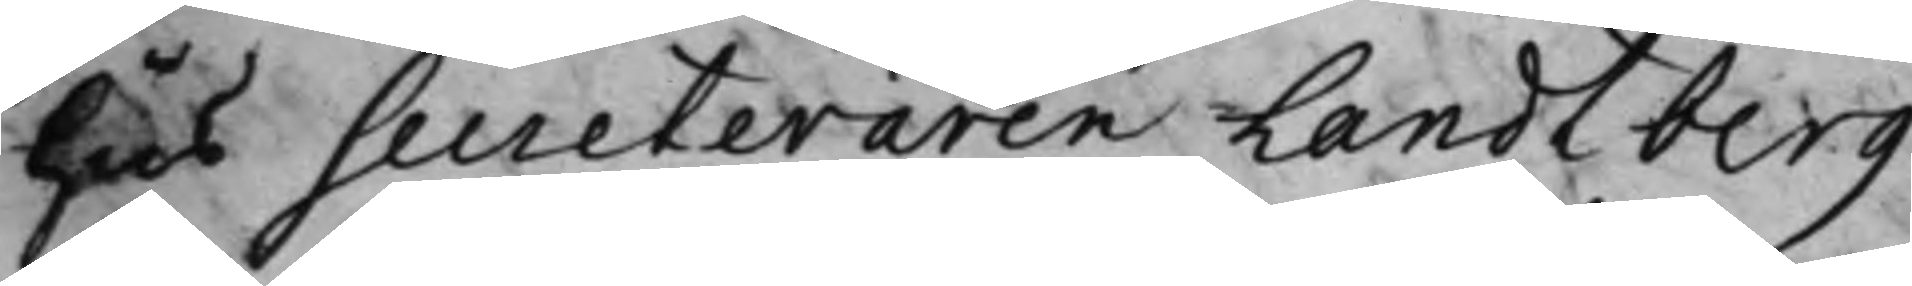Hus Secreteraren Landtberg
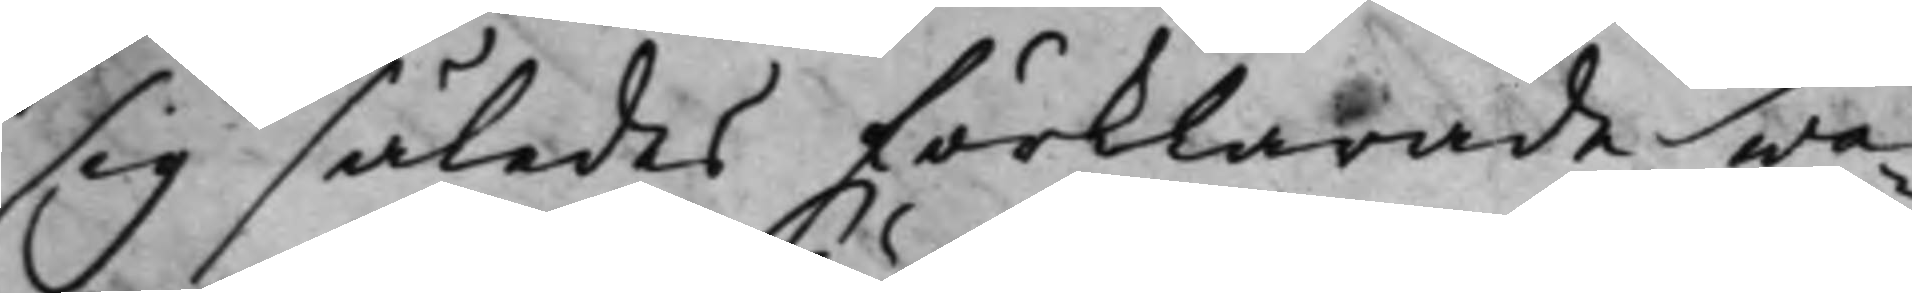sig således förklarade wa¬
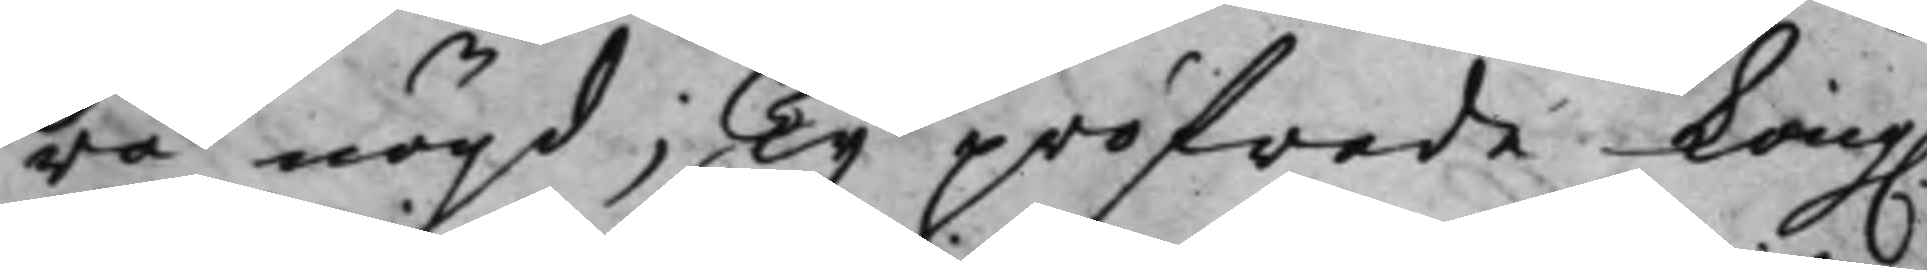ra nögd; Ty pröfwade Kong.
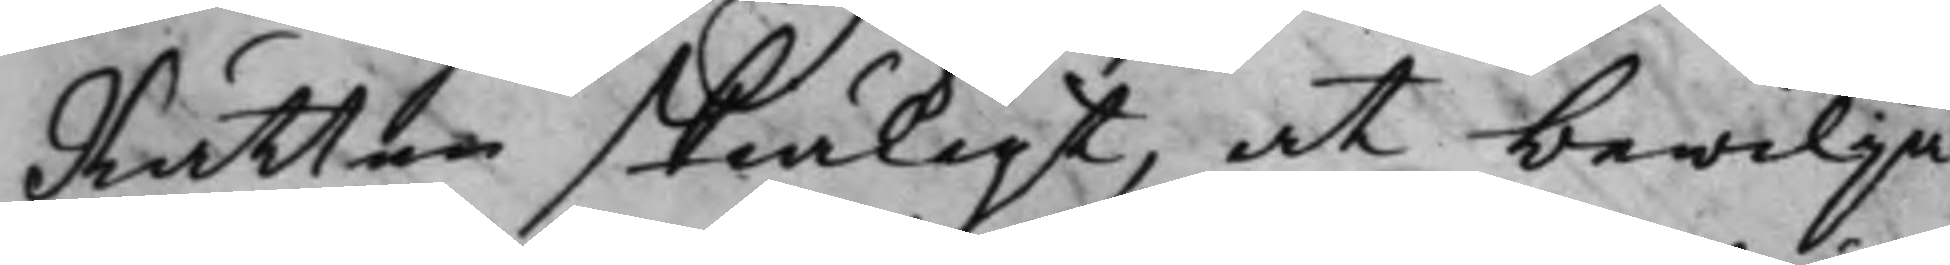Rätten skiäligt, at bewilja
